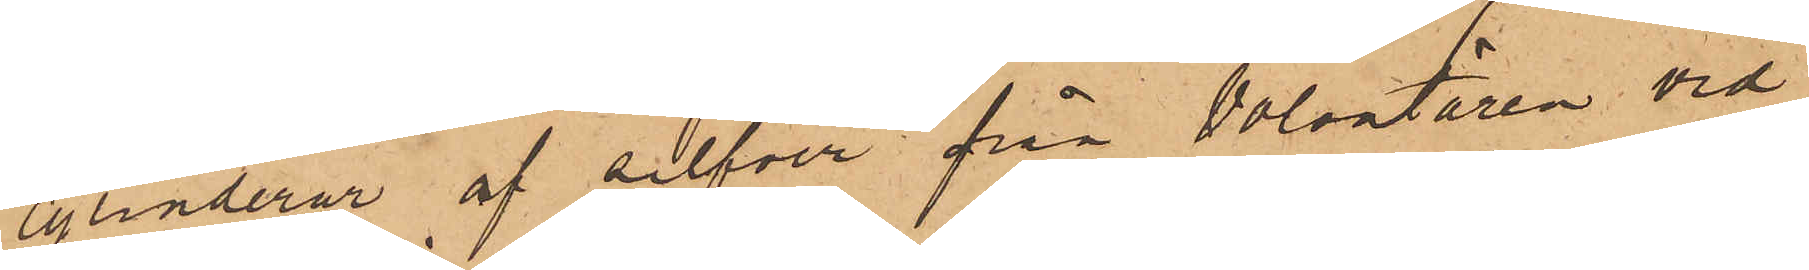cylinderur af silfver från Volontären vid
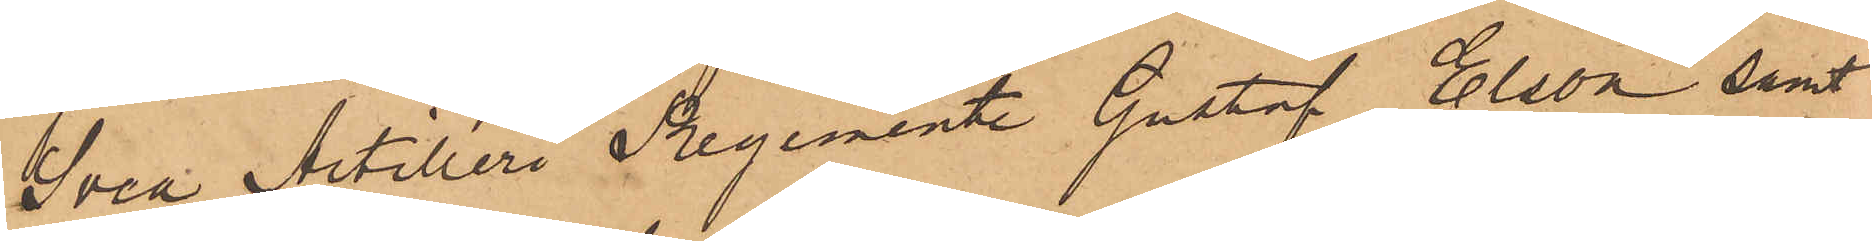Svea Artilleri Regemente Gustaf Elson samt
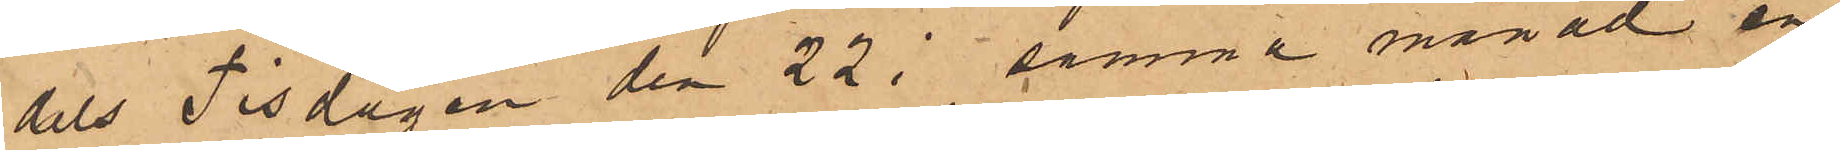dels Tisdagen den 22 i samma månad en
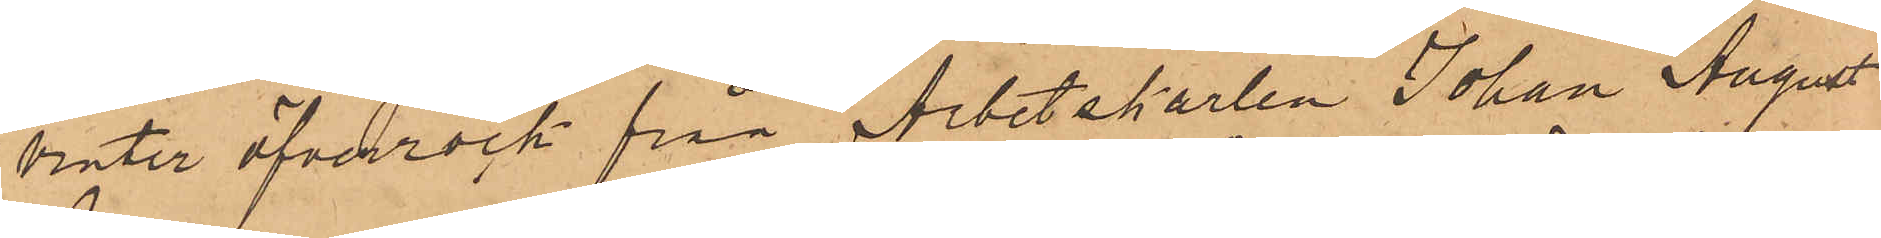vinter öfverrock från Arbetskarlen Johan August
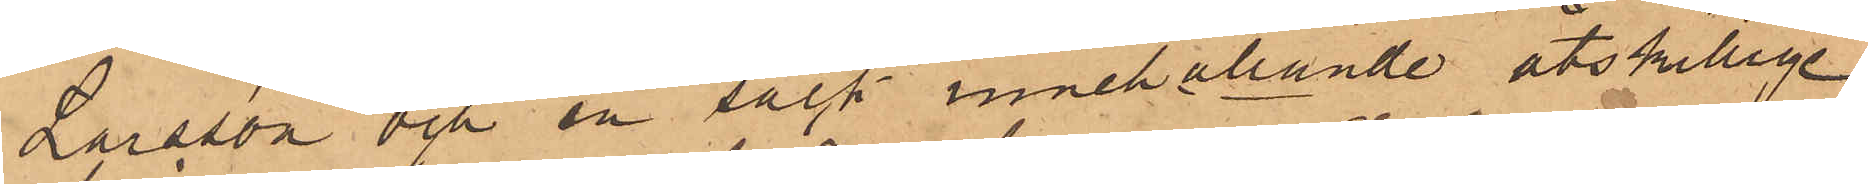Larsson och en säck innehållande åtskillige
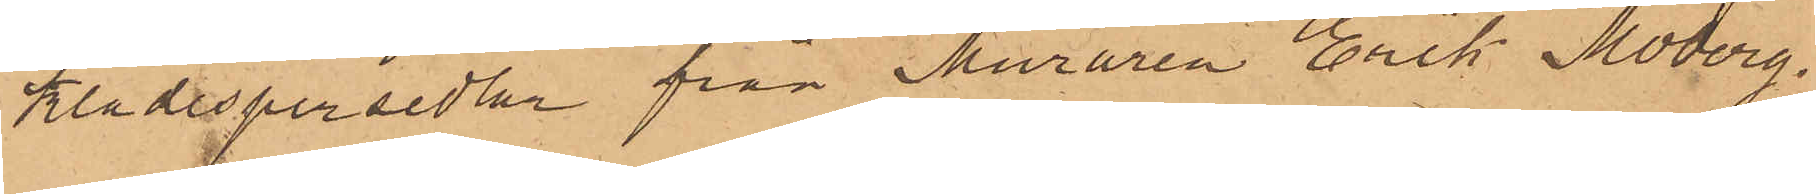klädespersedlar från Muraren Erik Moberg,
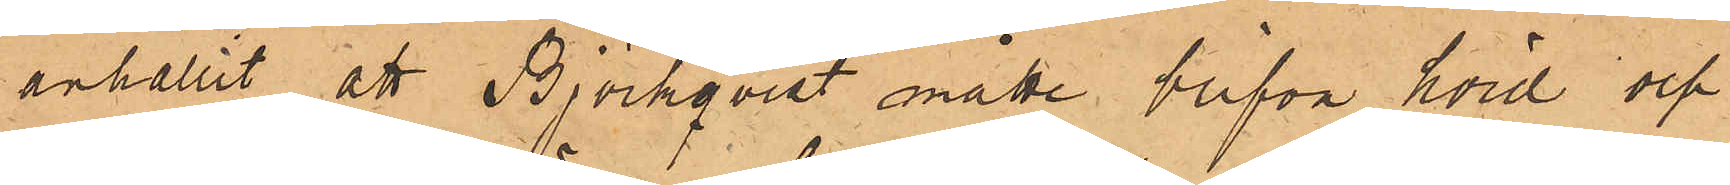anhållit att Björkqvist måtte blifva hörd och,
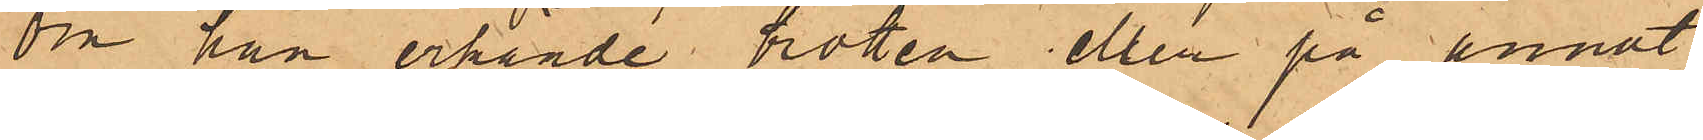om han erkände brotten eller på annat
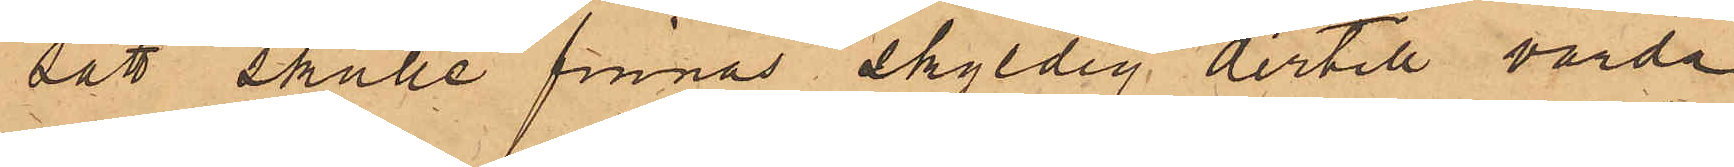sätt skulle finnas skyldig dertill varda
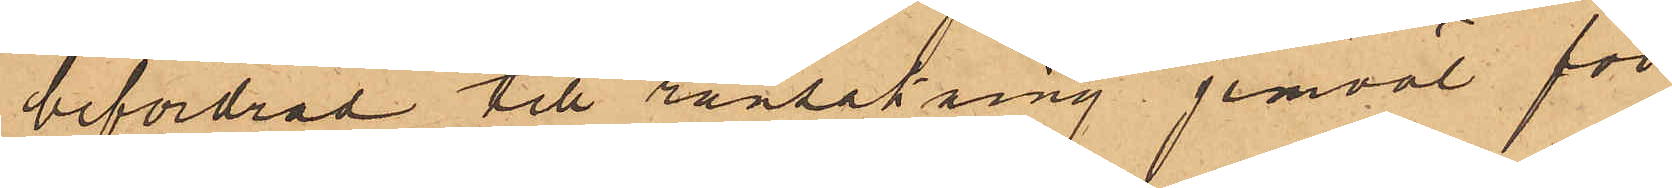befordrad till ransakning jemväl för
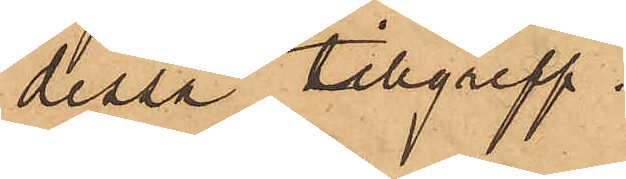dessa tillgrepp.
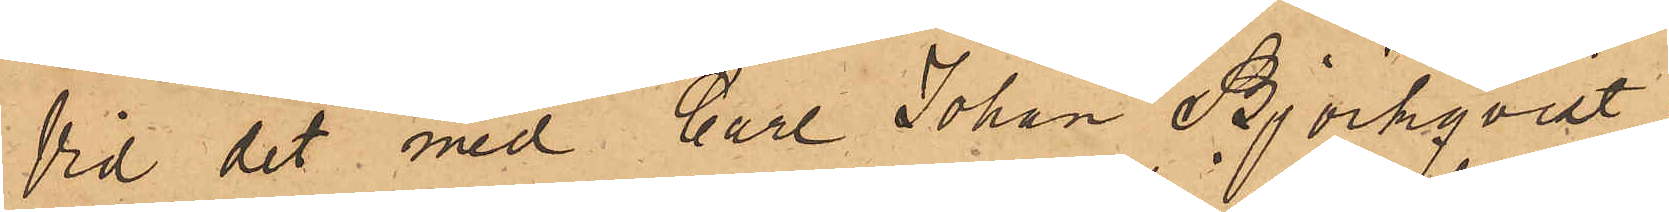Vid det med Carl Johan Björkqvist i
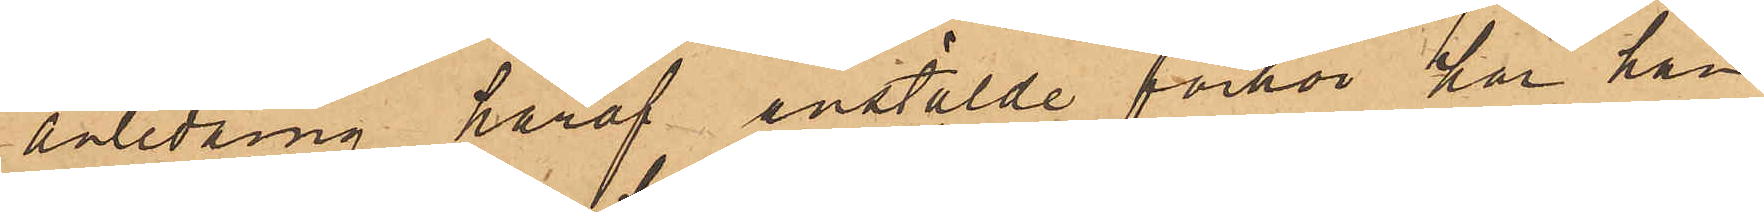anledning häraf anstälde förhör har han
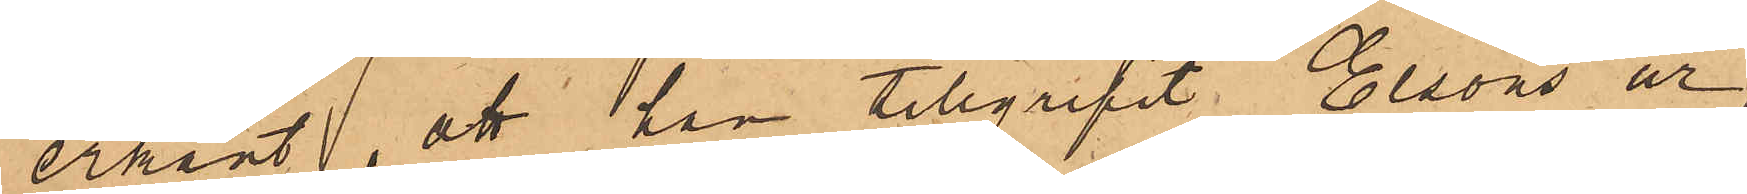erkänt, att han tillgripit Elsons ur,
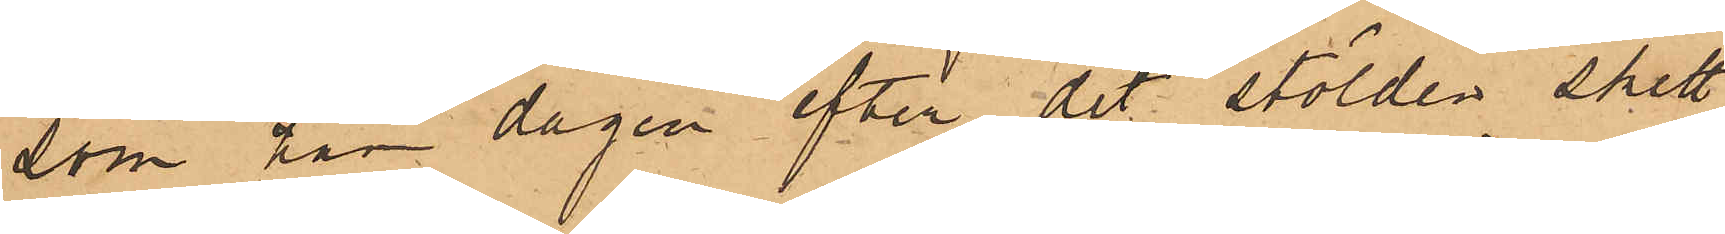som han dagen efter det stölden skett
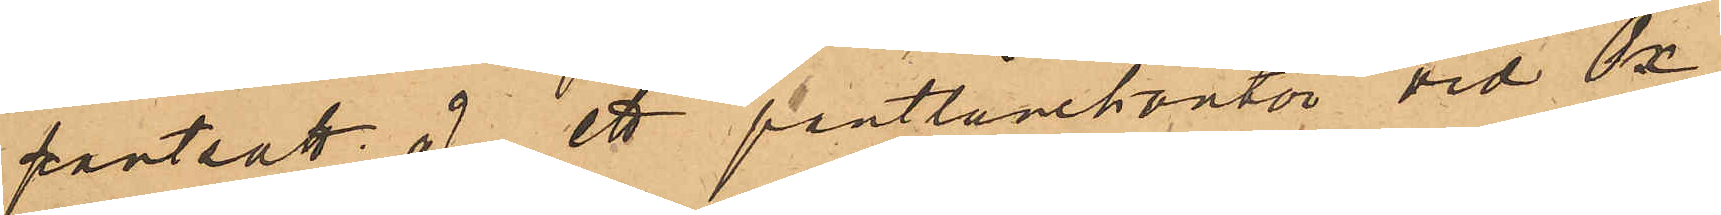pantsatt å ett pantlånekontor vid Ox¬
